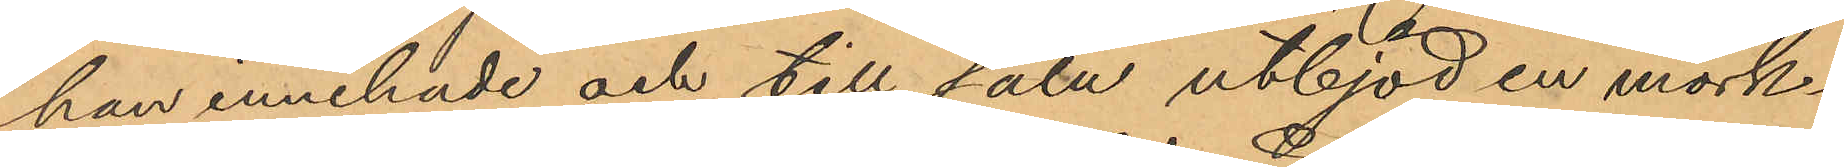han innehade och till salu utbjöd en mörk¬
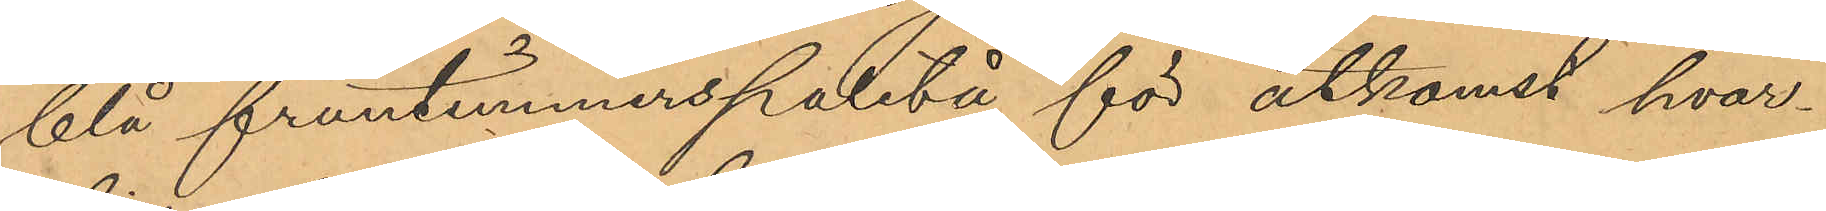blå fruntimmerspaletå för åtkomst hvar¬
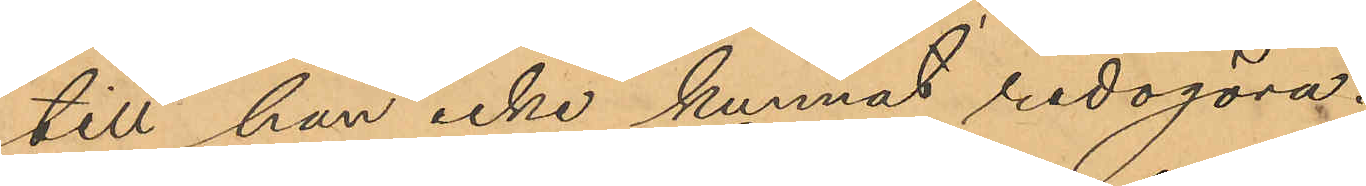till han icke kunnat redogöra.
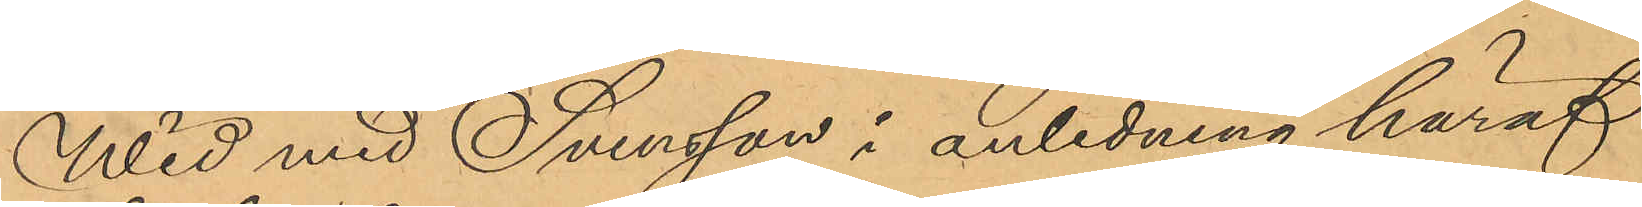Wid med Svensson i anledning häraf
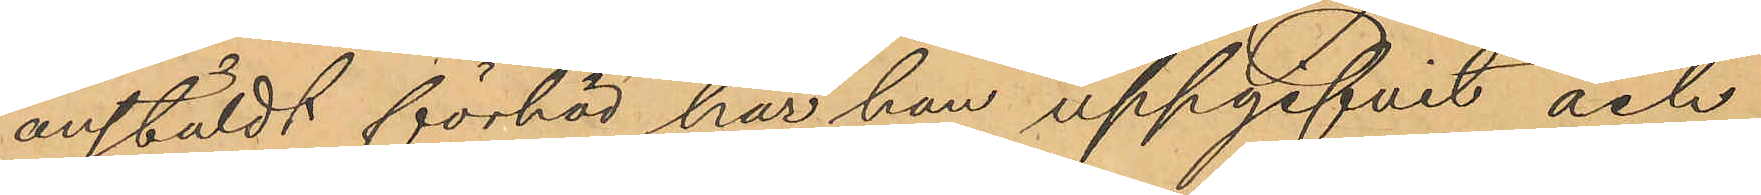anstäldt förhör har han uppgifvit och
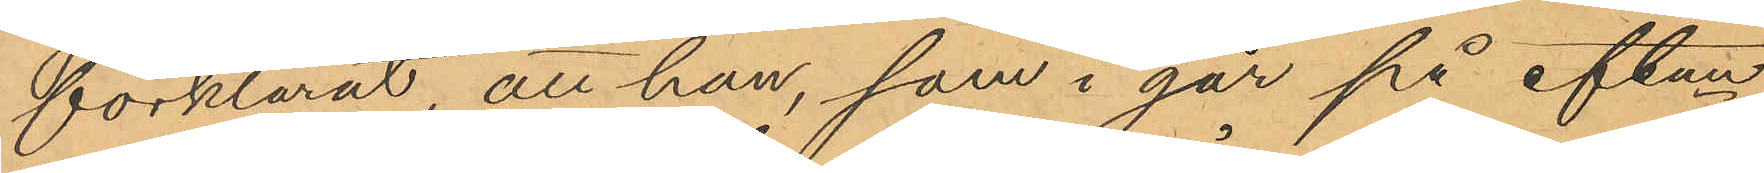förklarat, att han, som i går på eftm
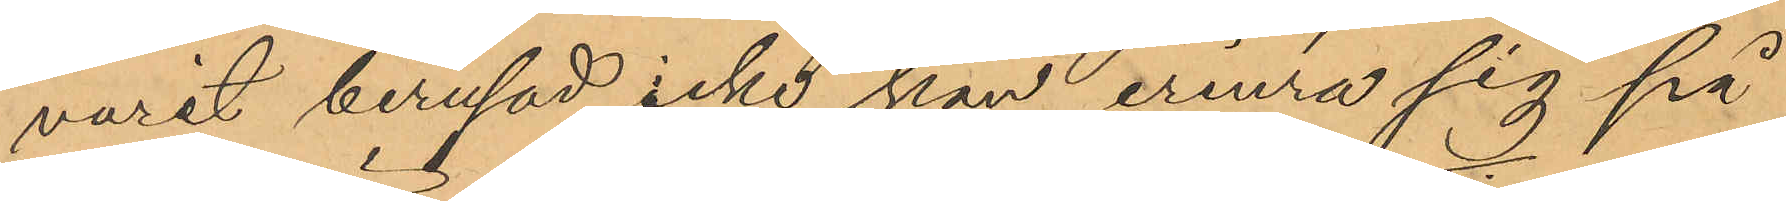varit berusad, icke kan erinra sig på
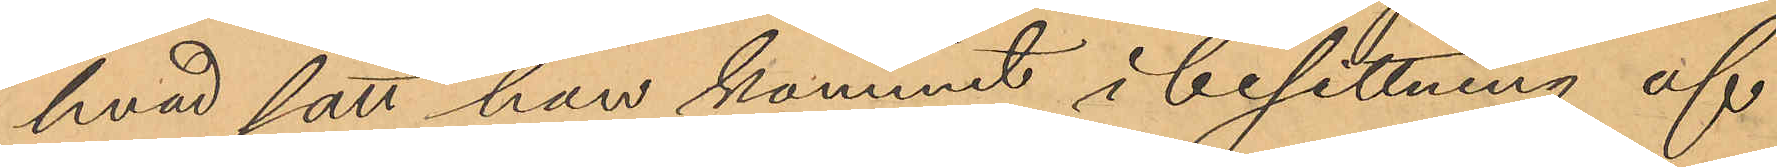hvad sätt han kommit i besittning af
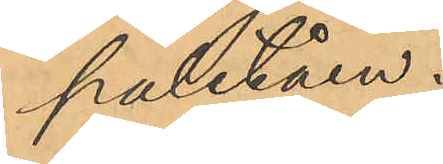paletåen.
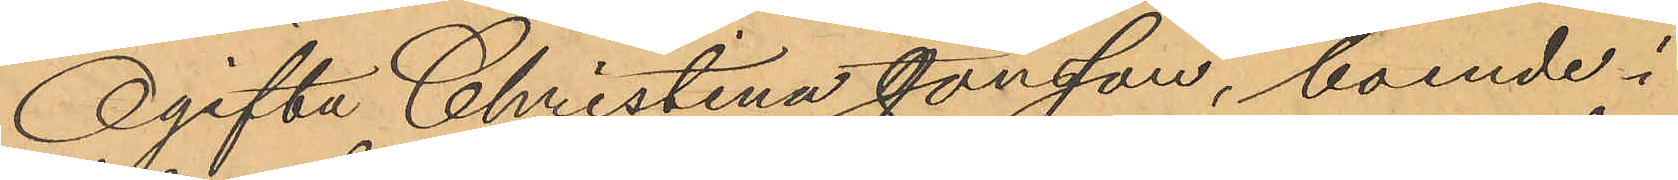Ogifta Christina Jonsson, boende i
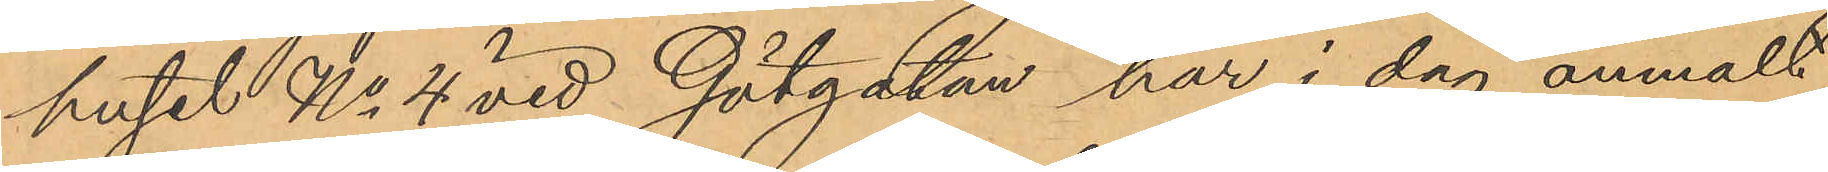huset No 4 vid Götgatan har i dag anmält
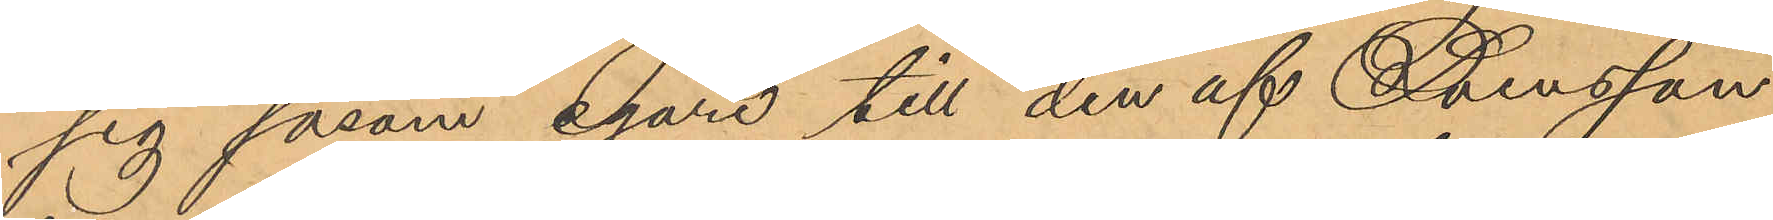sig såsom egare till den af Svensson
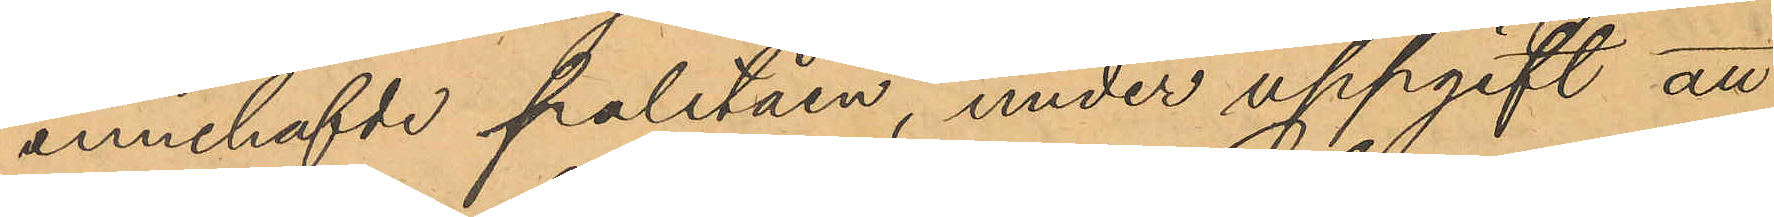innehafvde paletåen, under uppgift att
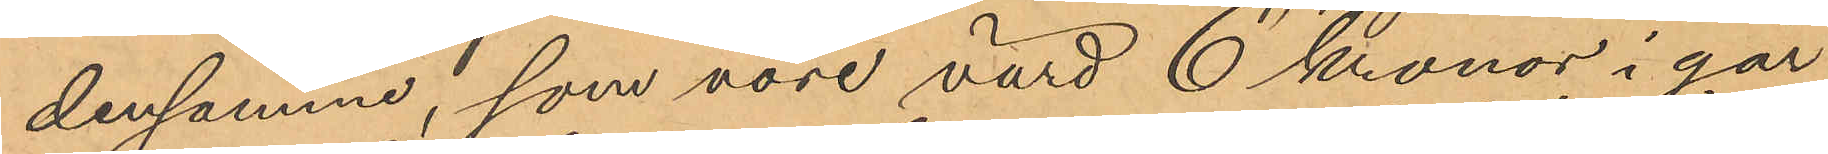densamma, som vore värd 6 kronor i går
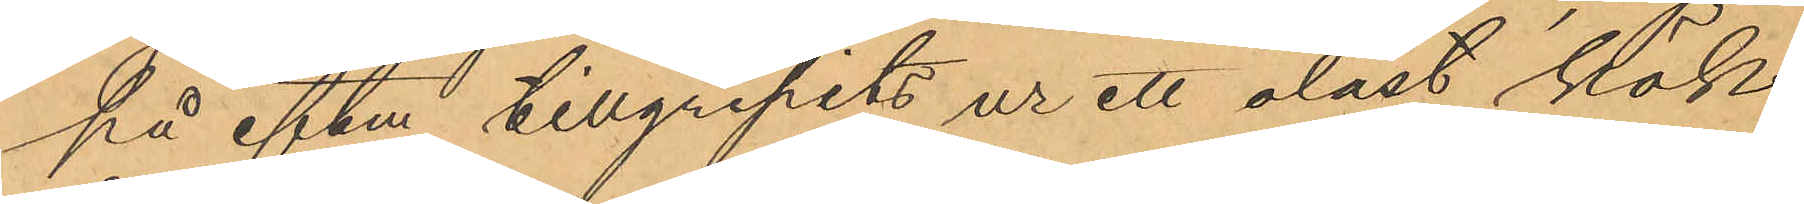på eftm tillgripits ur ett olåst kök
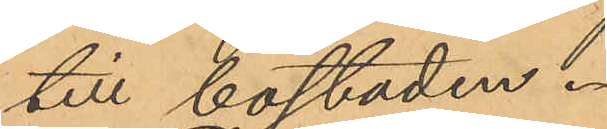till bostaden.
